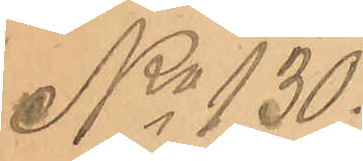No 130.
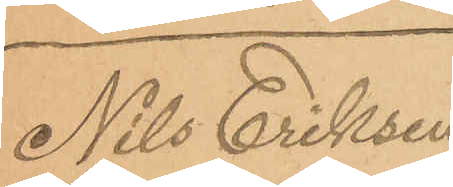Nils Eriksen
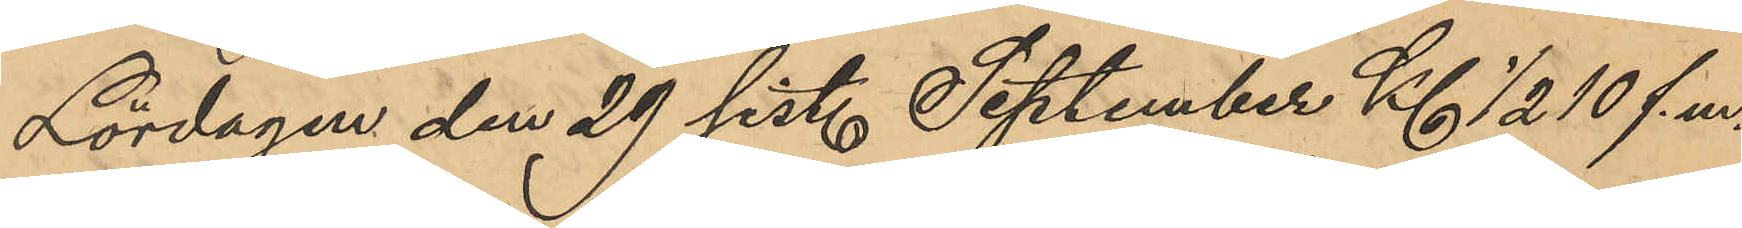Lördagen den 29 sist. September Kl ½ 10 f. m.
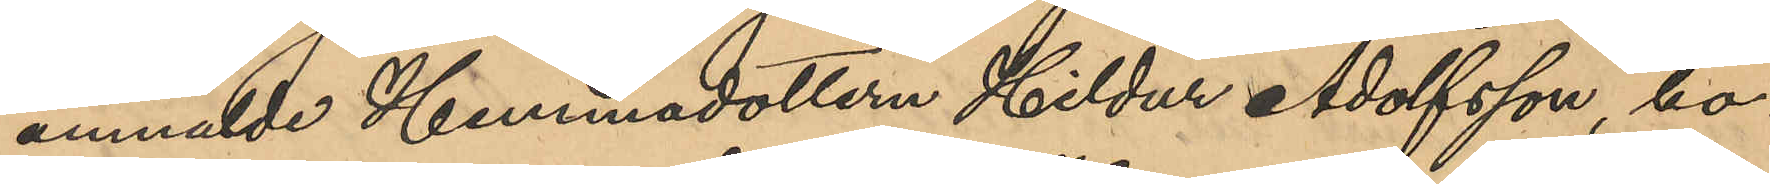anmälde Hemmadottern Hildur Adolfsson, bo¬
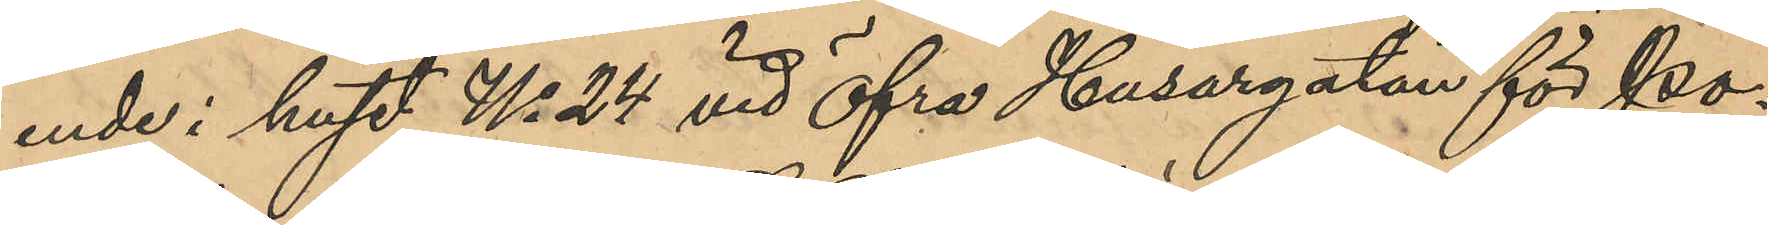ende i huset No 24 vid Öfra Husargatan för po¬
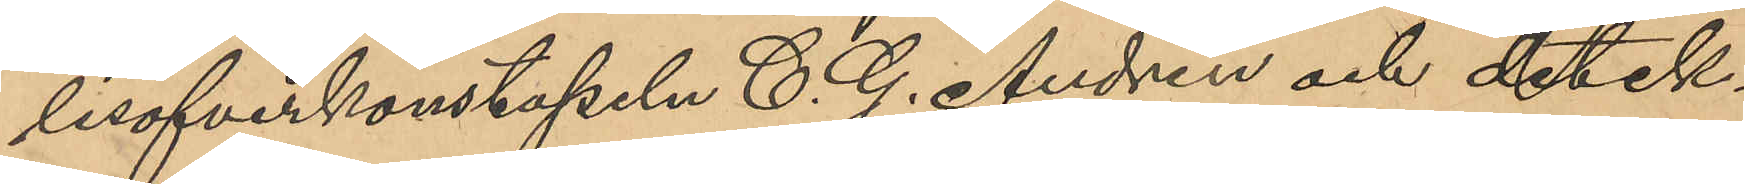lisöfverkonstapeln C. G. Andrén och detek¬
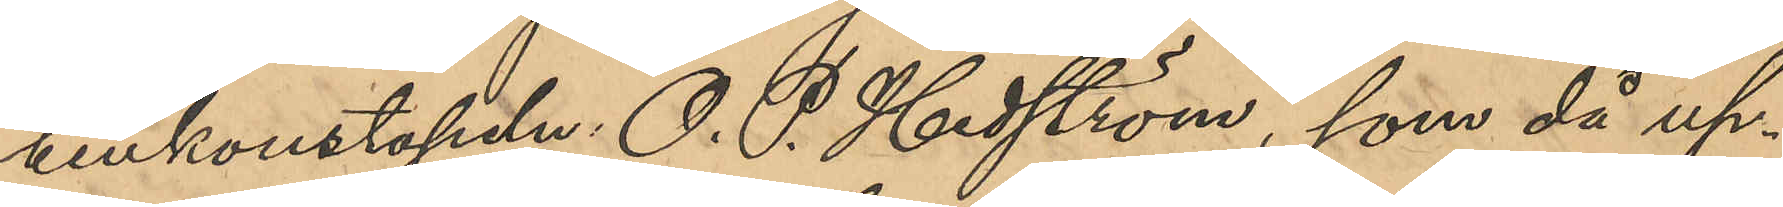tivkonstapeln O. P. Hedström, som då up¬
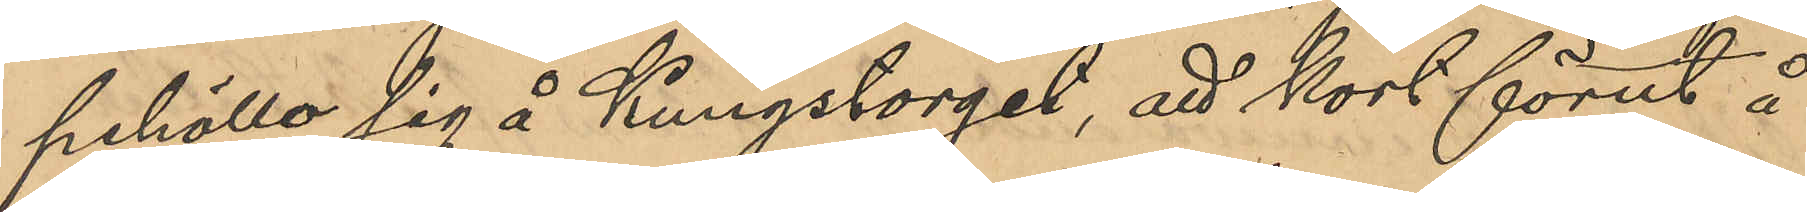pehöllo sig å Kungstorget, att kort förut å
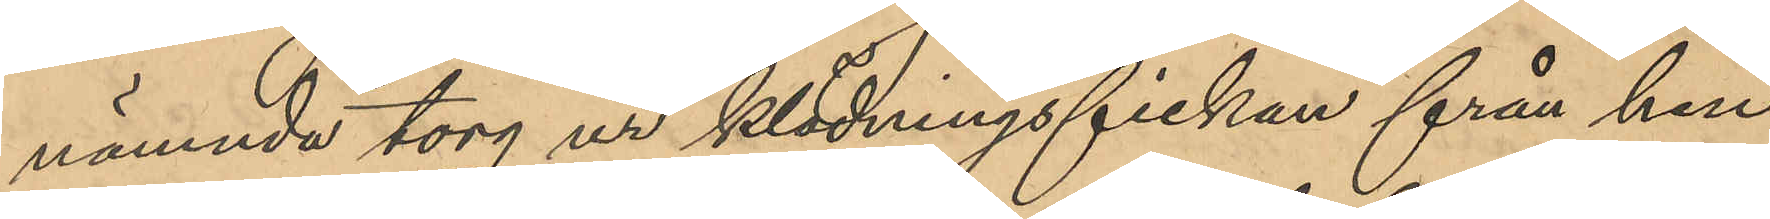nämnda torg ur klädningsfickan från hen¬
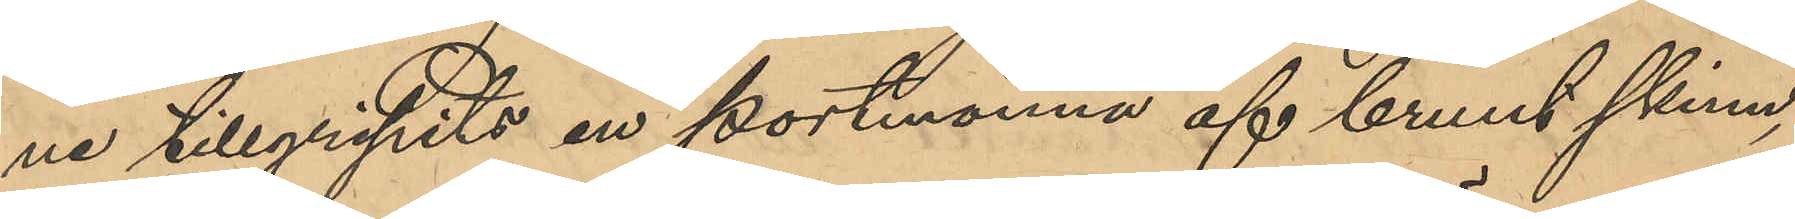ne tillgripits en portmonnä af brunt skinn,
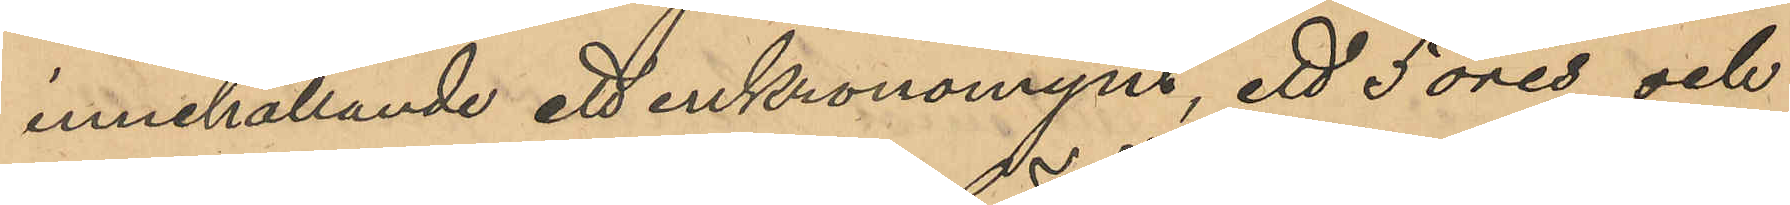innehållande ett enkronomynt, ett 50 öres och
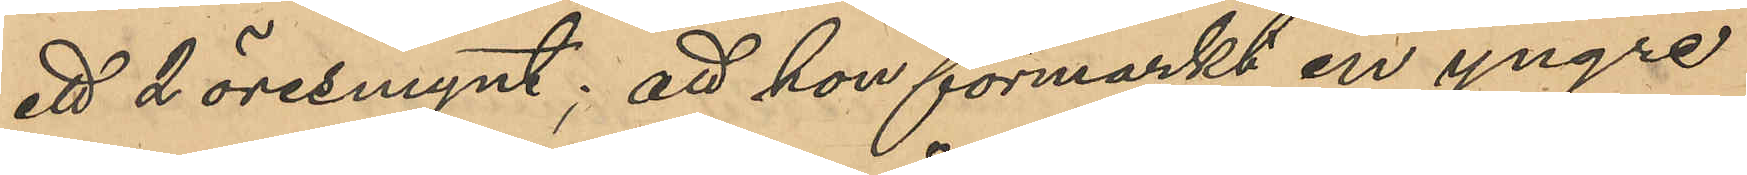ett 2 öresmynt; att hon förmärkt en yngre
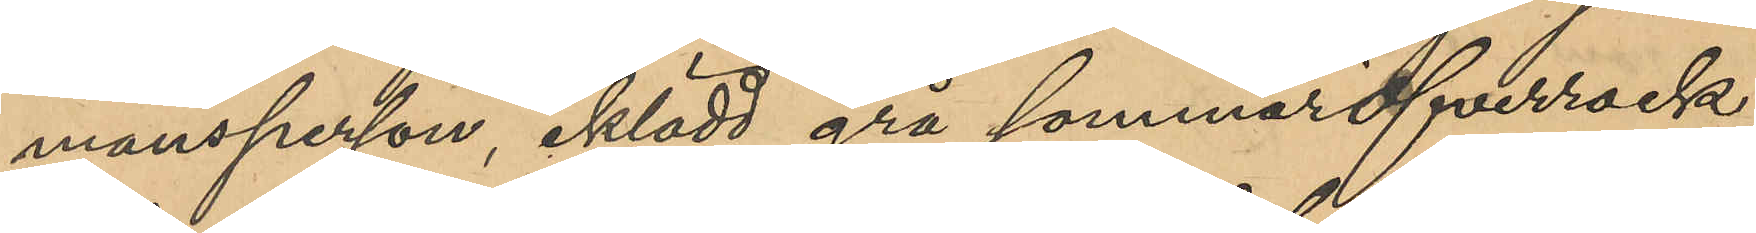mansperson, iklädd grå sommaröfverrock,
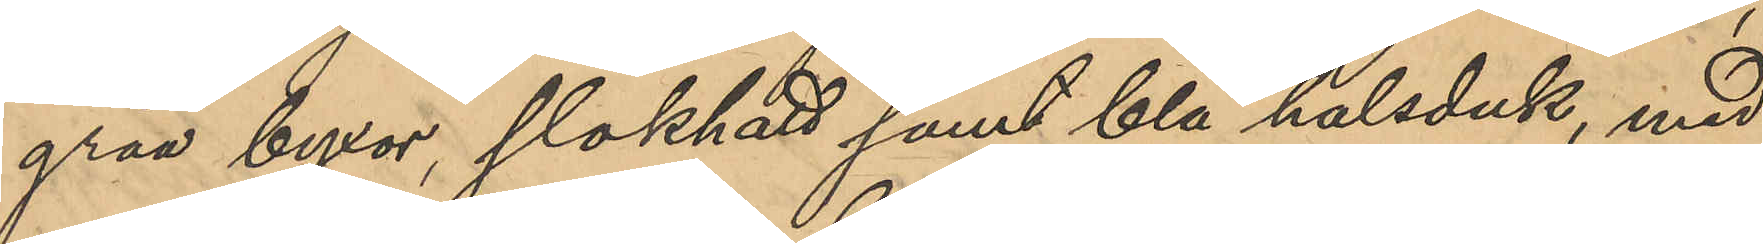gråa byxor, slokhatt samt blå halsduk, med
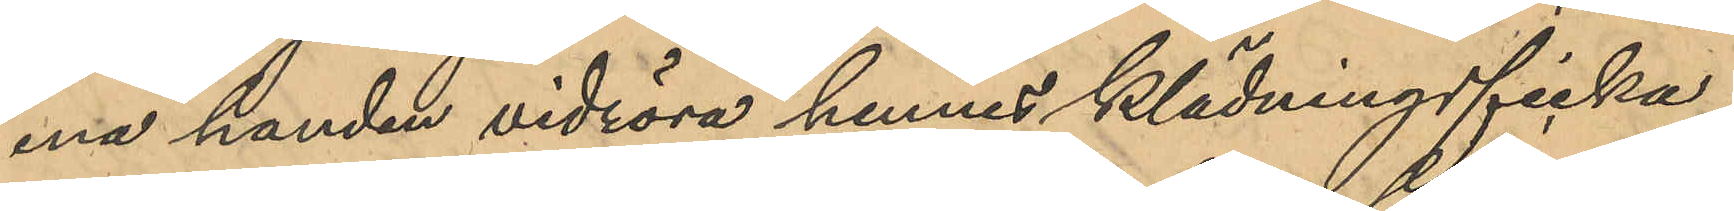ena handen vidröra hennes klädningsficka;
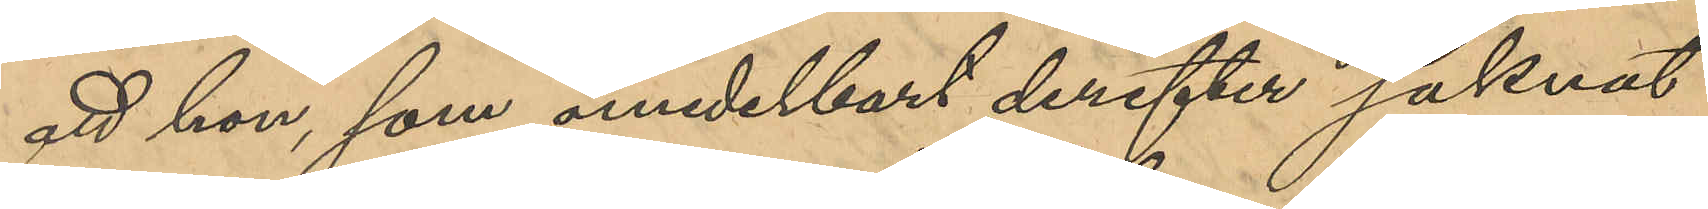att hon, som omedelbart derefter saknat
